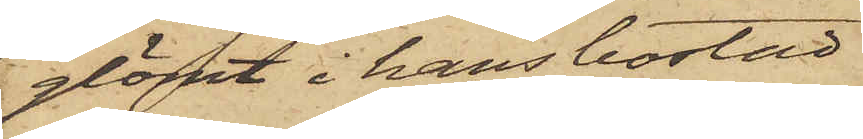glömt i hans bostad.
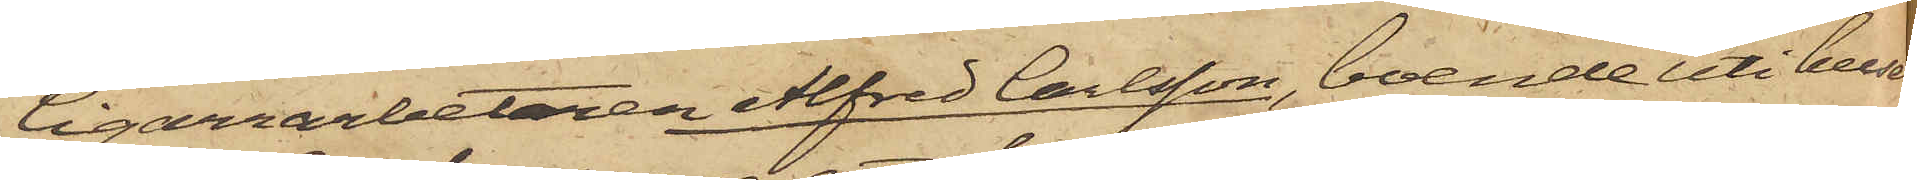Cigarrarbetaren Alfred Carlsson, boende uti huset
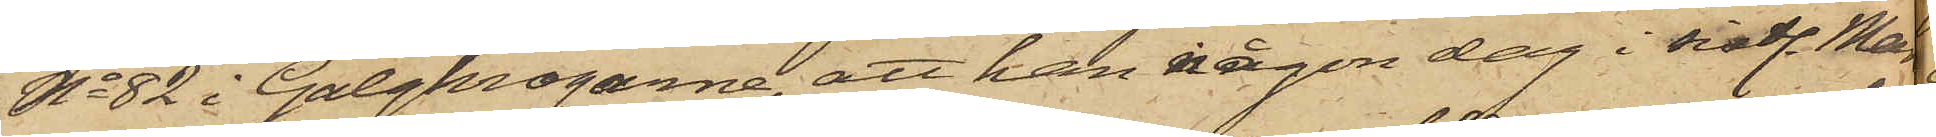No 82 i Galgkrogarne, att han någon dag i sistl. Mars
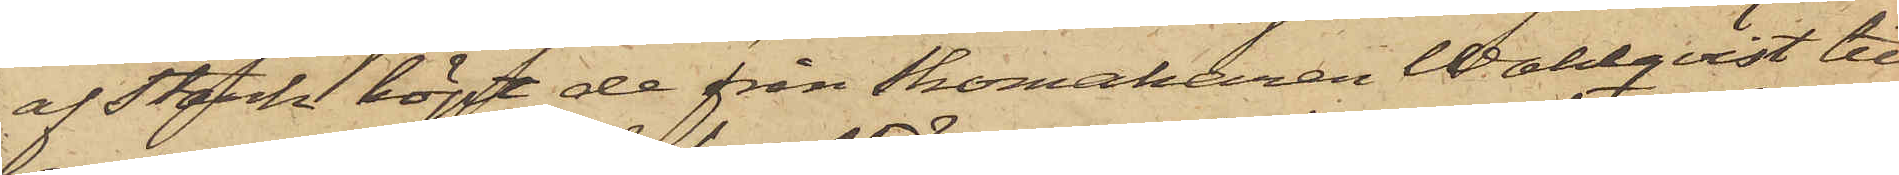af Stark köpt de från Skomakaren Wahlqvist till¬
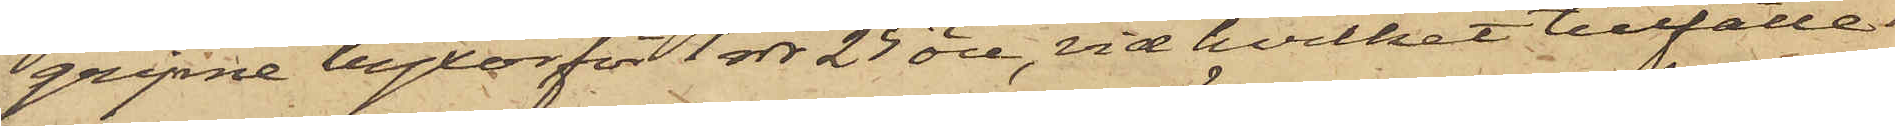gripne byxor för 1 rdr 25 öre, vid hvilket tillfälle han
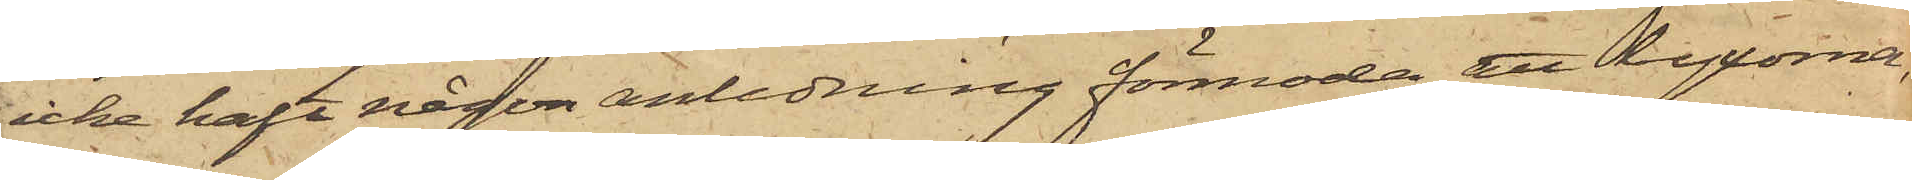icke haft någon anledning förmoda att byxorna,
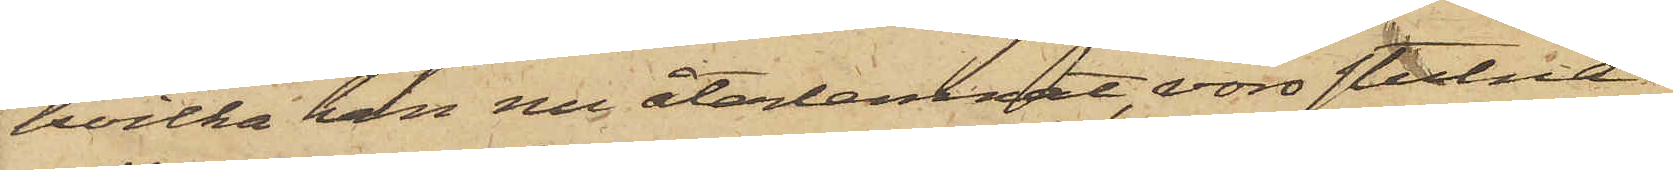hvilka han nu återlemnat, vore stulna.
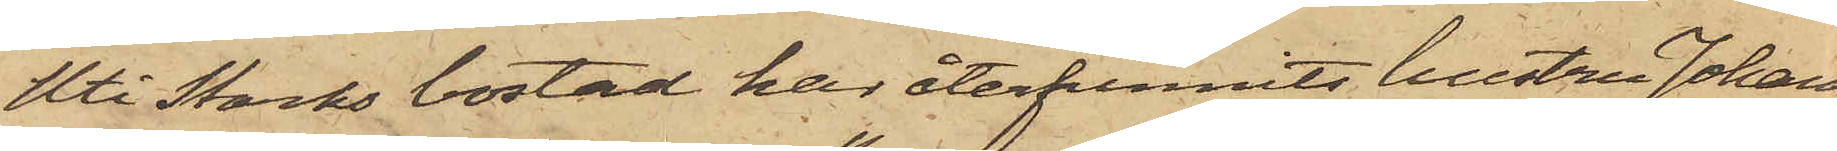Uti Starks bostad har återfunnits hustru Johans¬
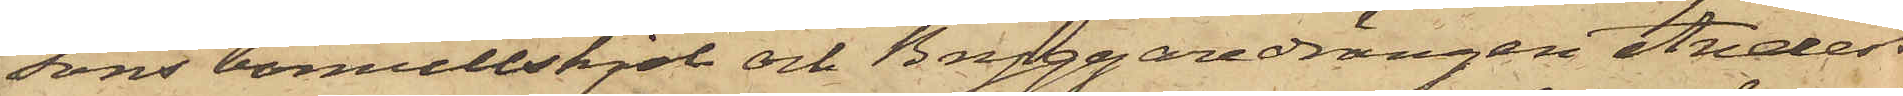sons bomullskjol och Bryggaredrängen Anders¬
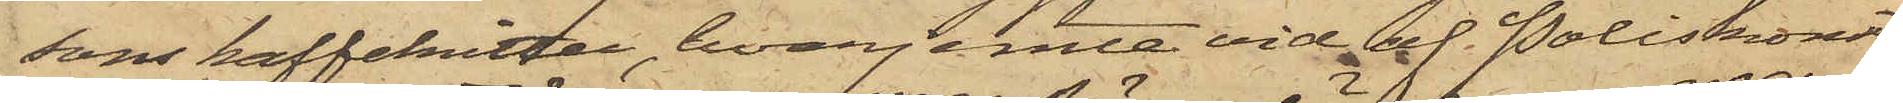sons kaffekittel, hvarjemte vid af Poliskonstap¬
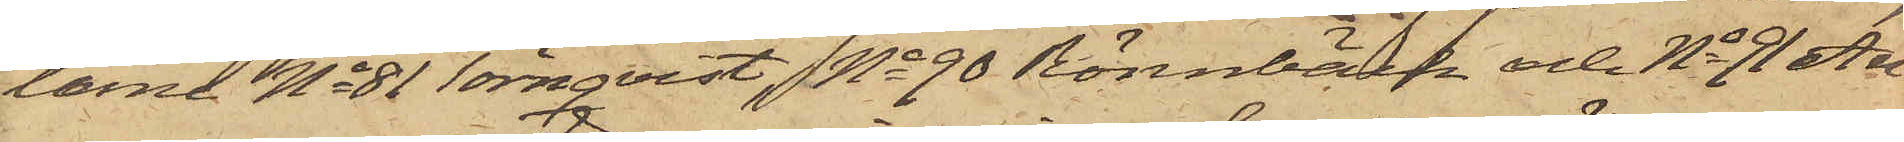larne No 81 Törnqvist, No 90 Rönnbäck och No 91 An¬
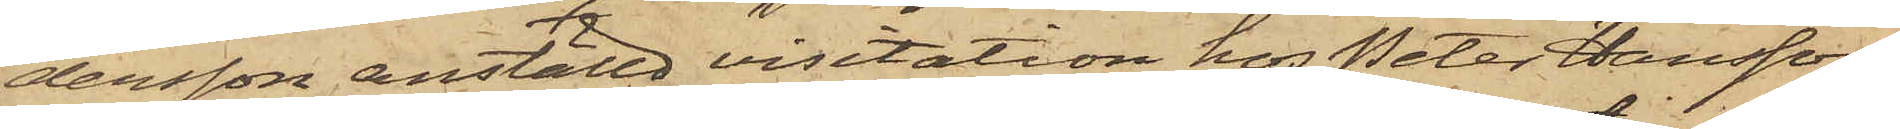dersson anställd visitation hos Peter Hansson
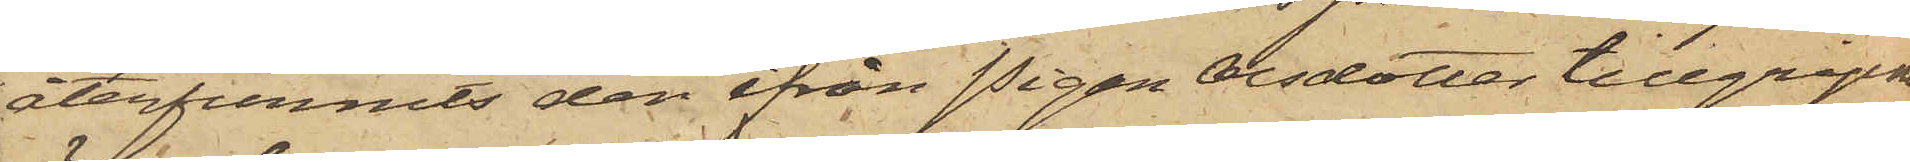återfunnits den ifrån Pigan Olsdotter tillgripna
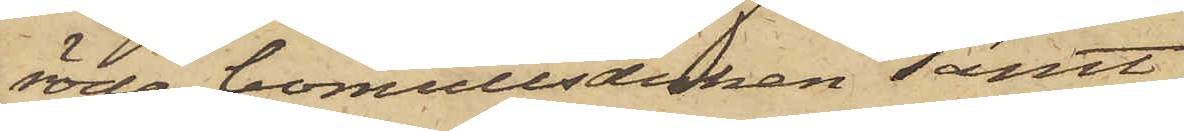röda bomullsduken samt
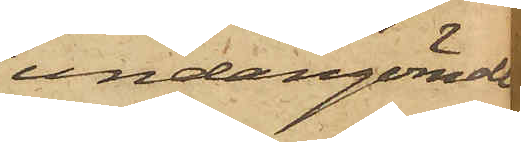undangömde
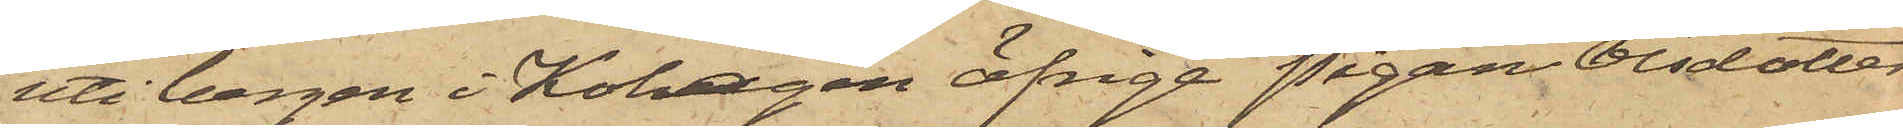uti bergen i Kohagen öfrige Pigan Olsdotter
